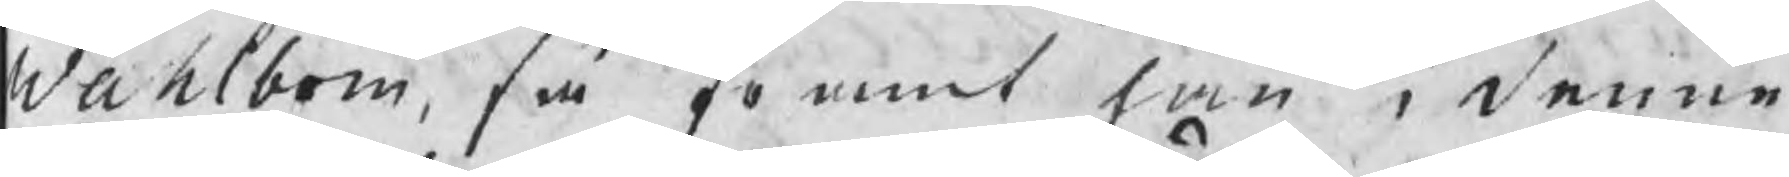Wahlbom, så framt han i denne
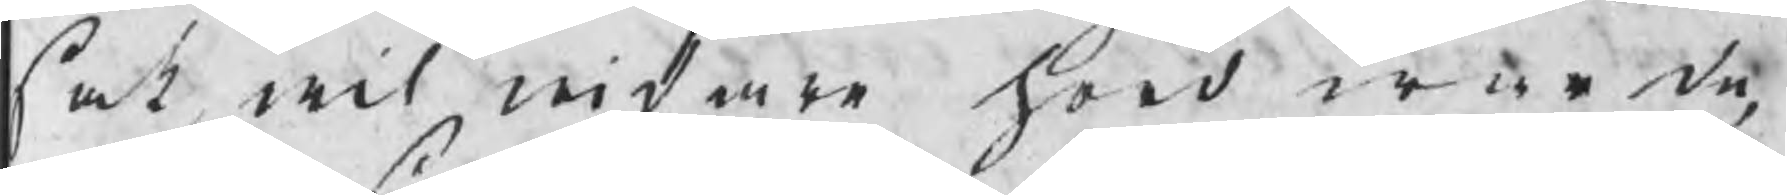sak wil widare hörd warda,
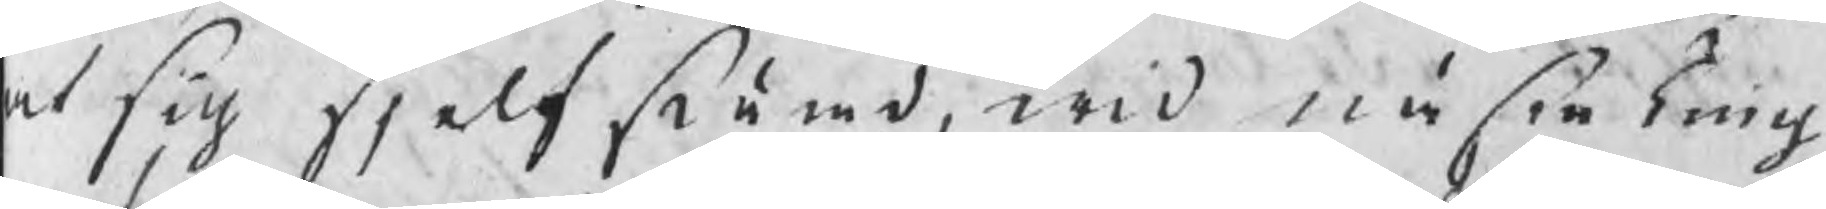at sig sielfstämd, wid nästa Ting
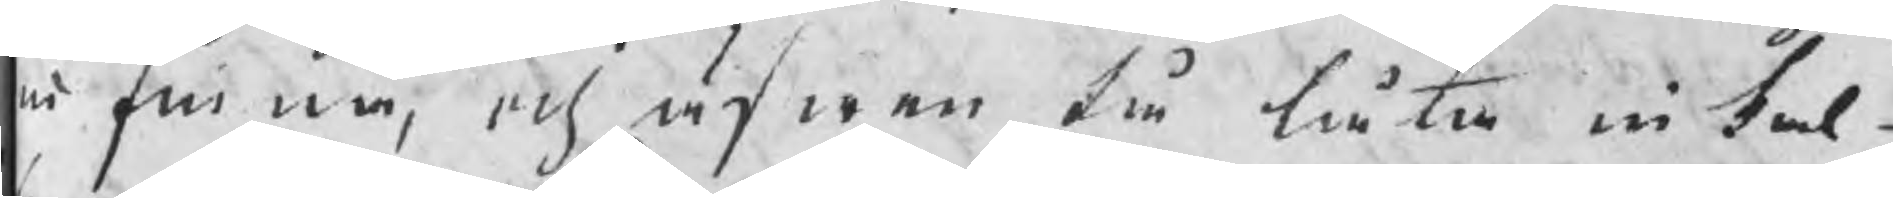infinna, och äfwen tå låta inkal¬
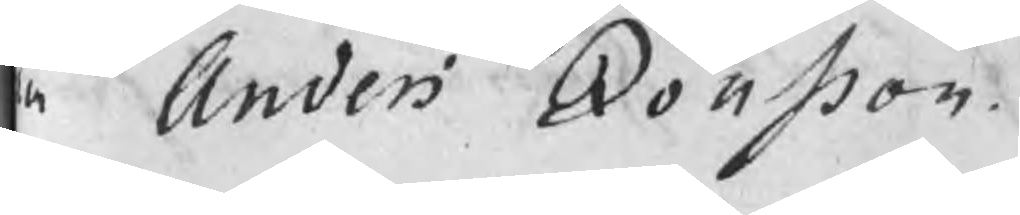a Anders Jonsson.
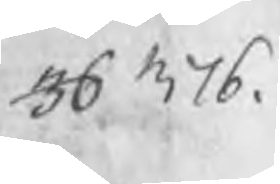36 376.
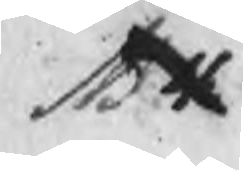NB 4
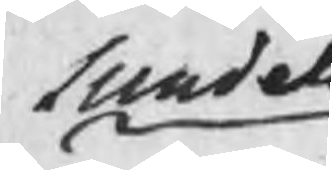Sundel
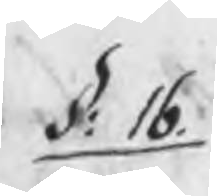§: 16.
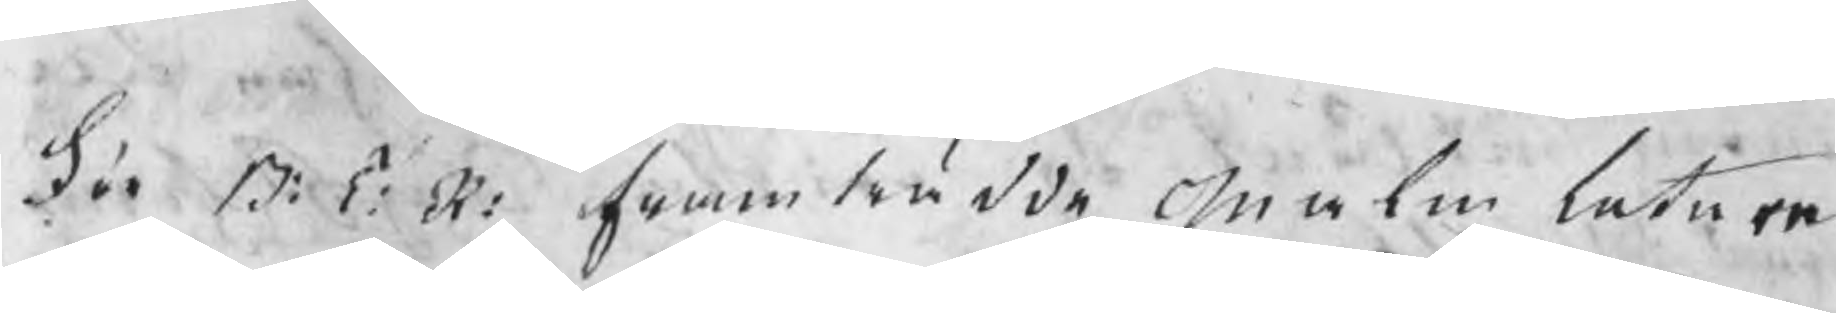För B: T: R: framträdde malmletaren
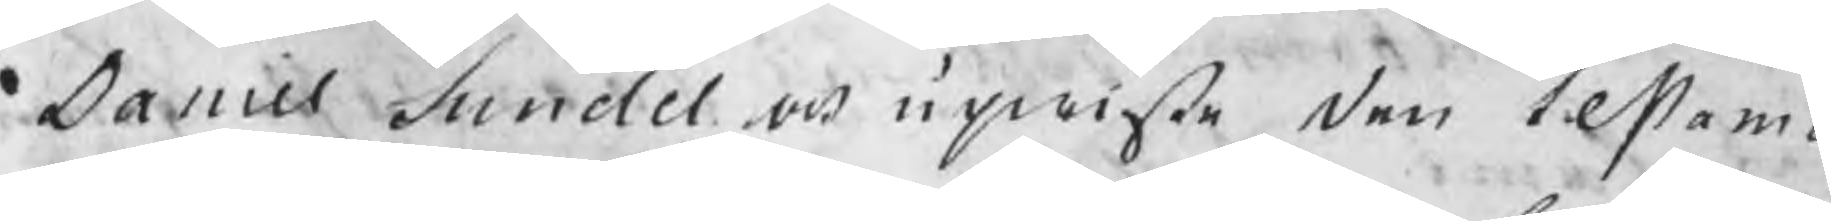Daniel Sundel och upwiste den testamen
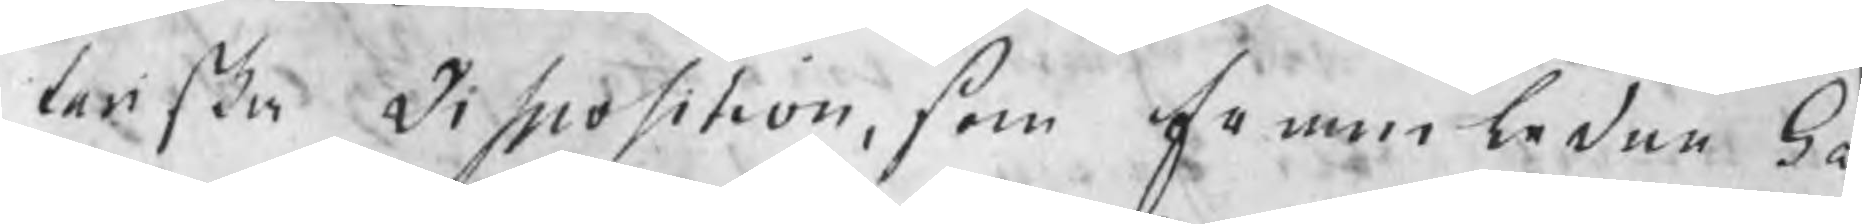tariska Disposition, som framledne Ga
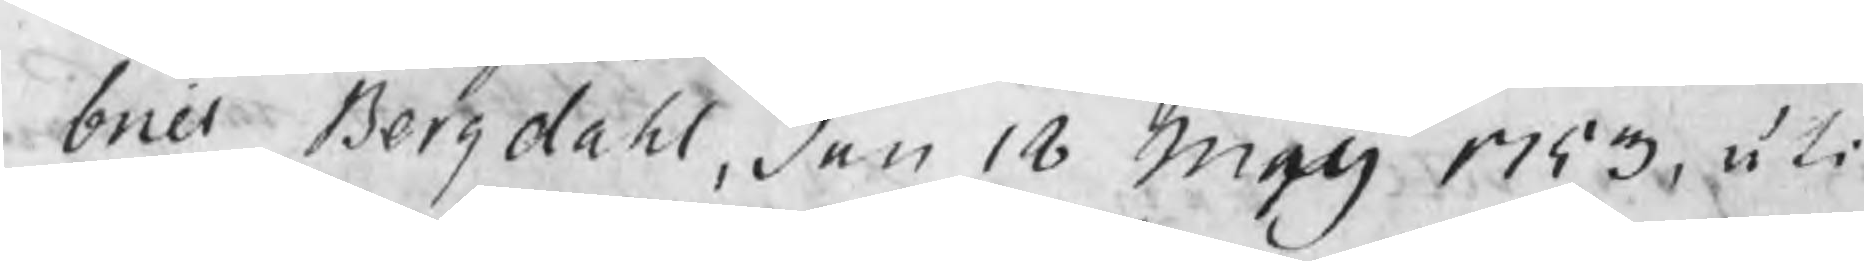briel Bergdahl, den 18 Maij 1753, uti
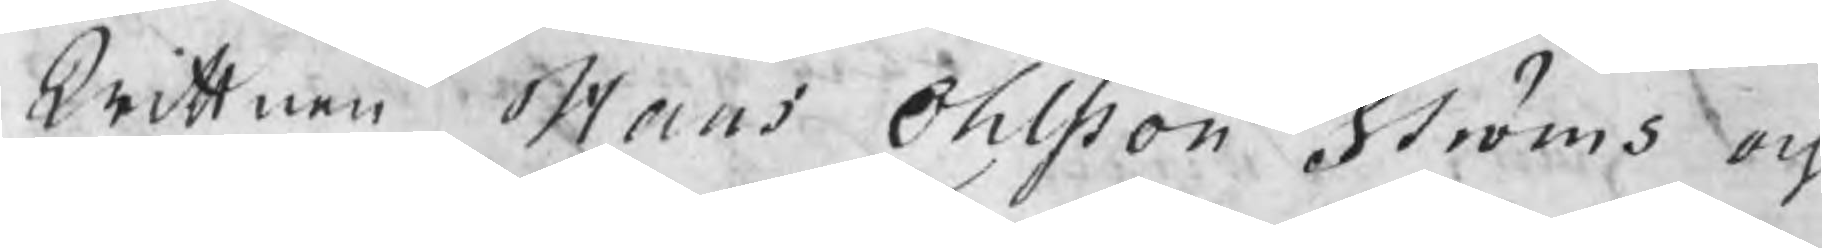Wittnen Hans Ohlsson Ströms och
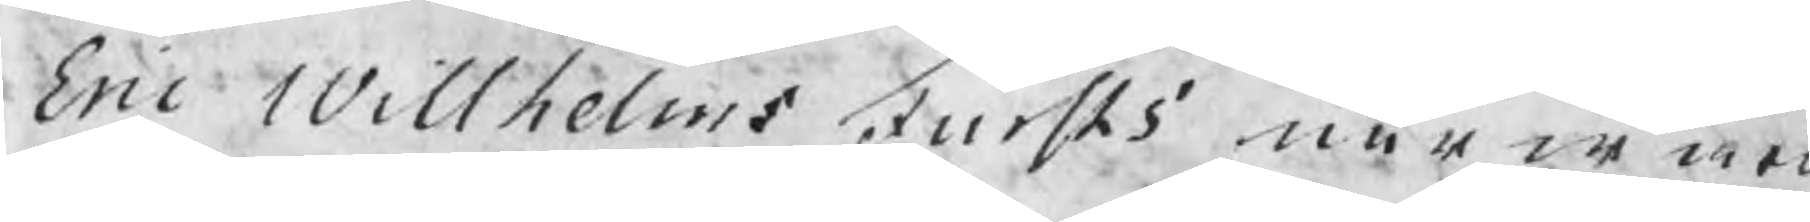Eric Willhelms Fursts närwaro
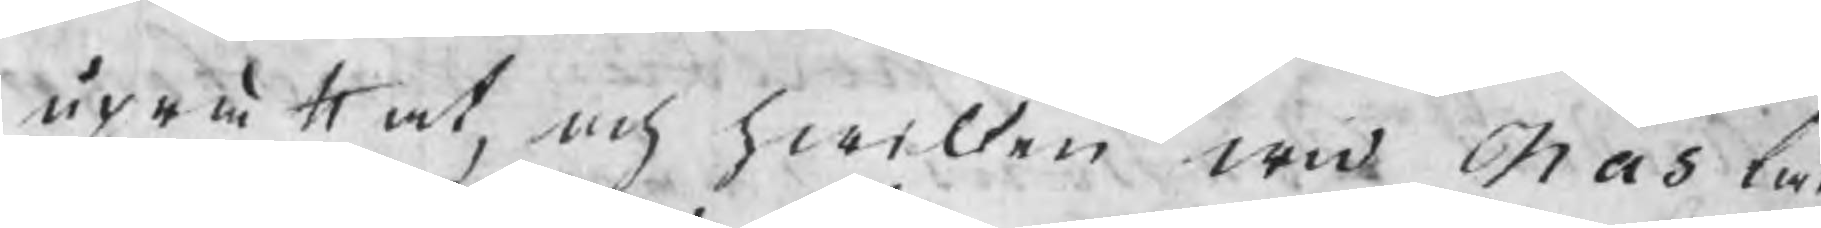uprättat, och hwilken wid Nås lag
